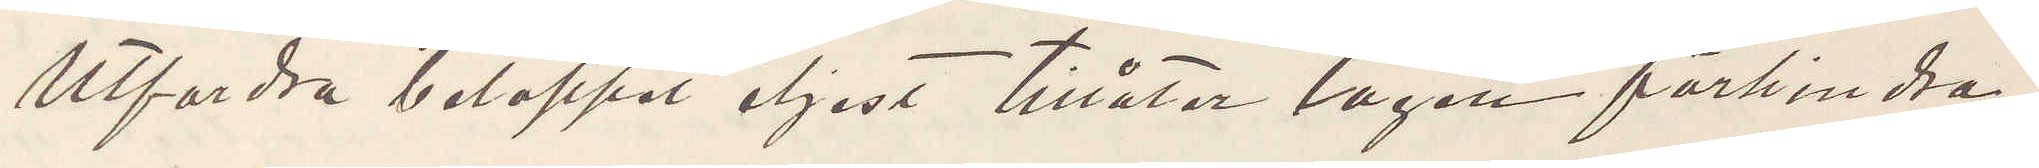Utfordra beloppet eljest tillåter lagen förhindra
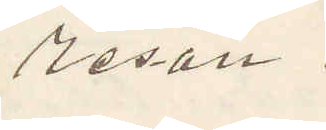resan.
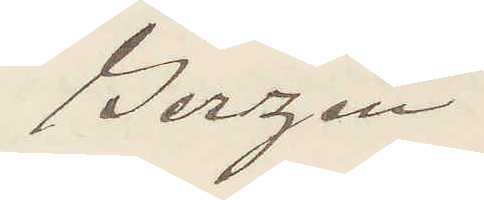Gerzén
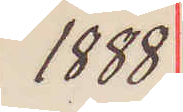1888
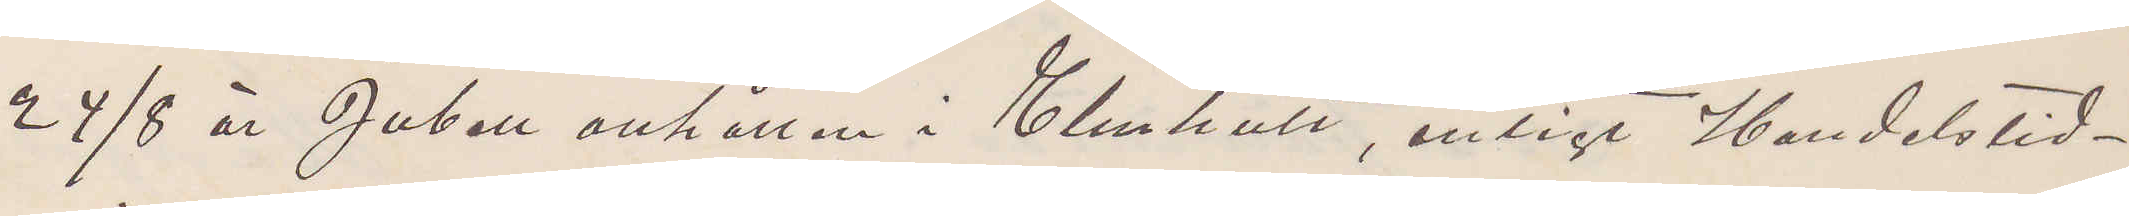24/8 är Jubell anhållen i Elmhult, enligt Handelstid¬
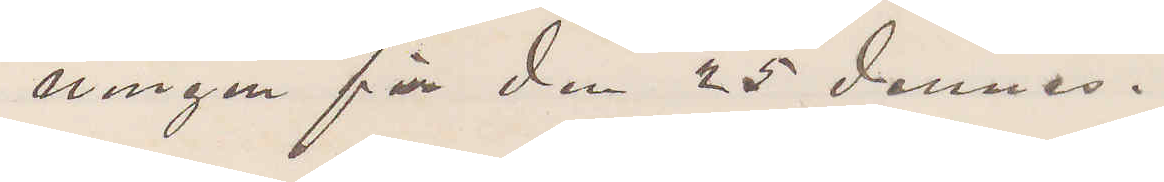ningen för den 25 dennes.
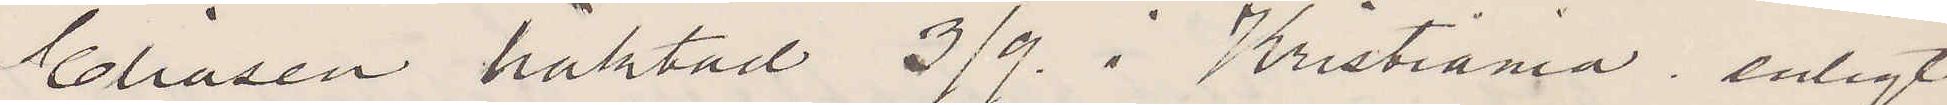Eliasen häktad 3/9. i Kristiania, enligt
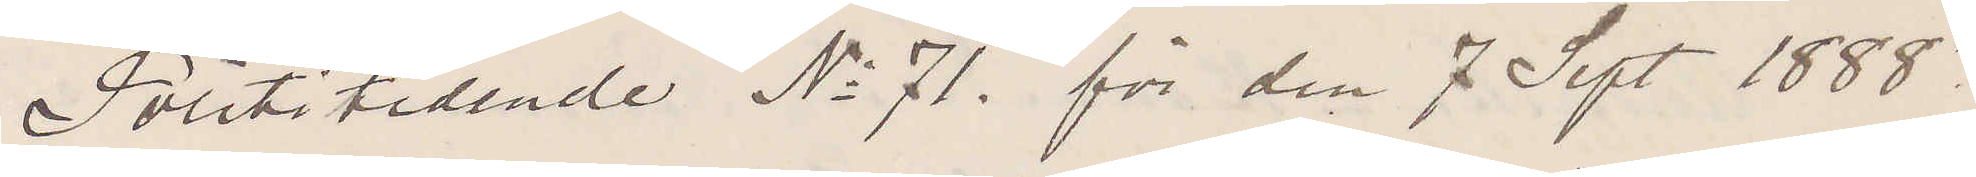Polititidende No 71. för den 7 Sept 1888.
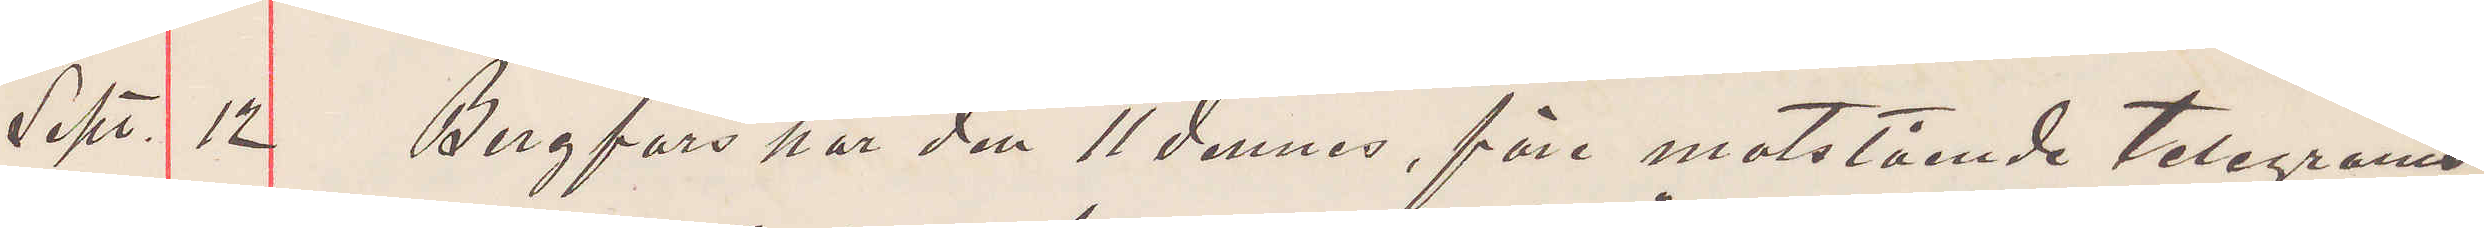Sept. 12 Bergfors har den 11 dennes, före motstående telegrams
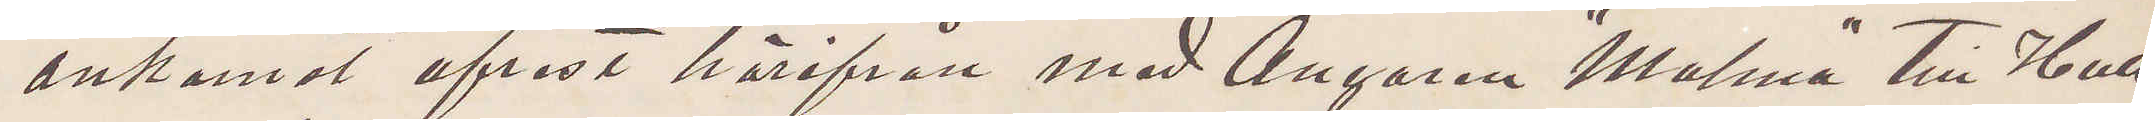ankomst afrest härifrån med Ångaren "Malma" till Hull
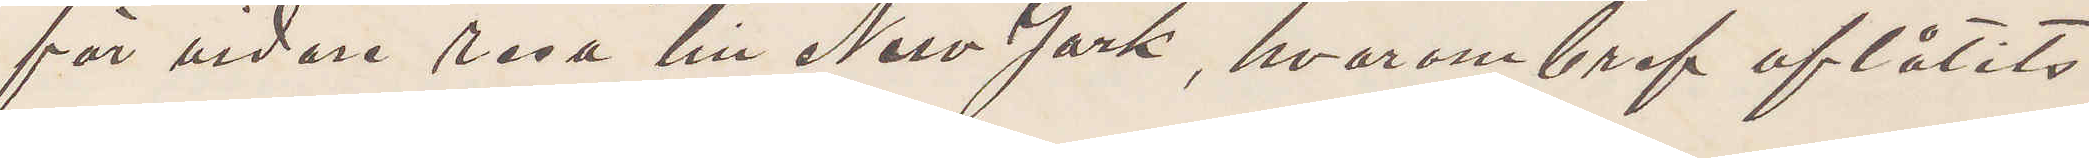för vidare resa till New York, hvarom bref aflåtits
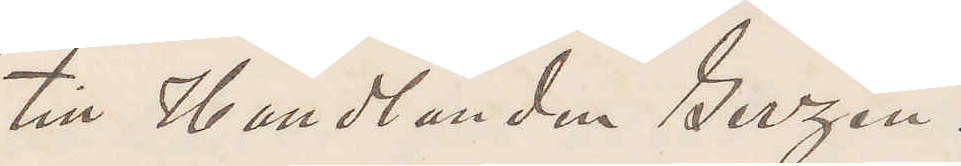till Handlanden Gerzén.
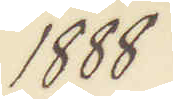1888
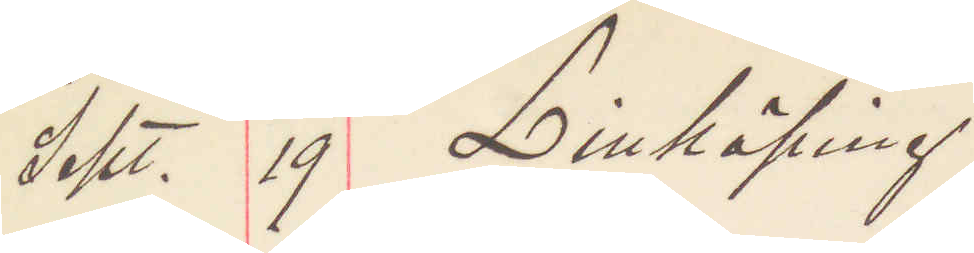Sept. 19 Linköping
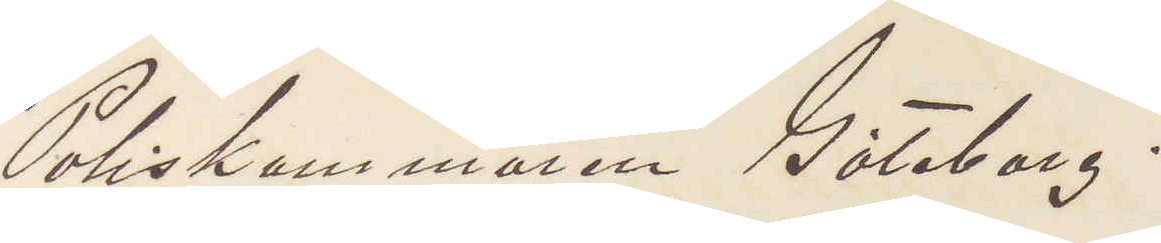Poliskammaren Göteborg.
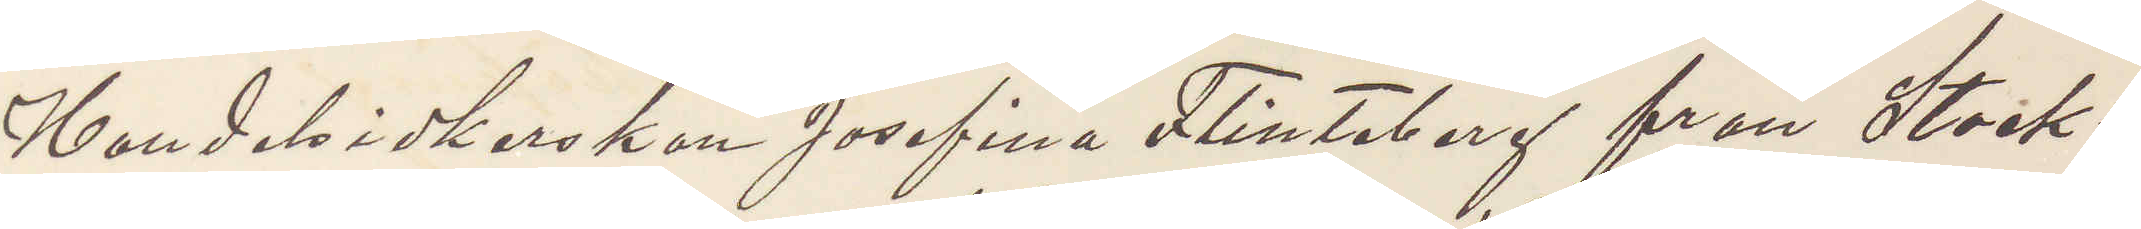Handelsidkerskan Josefina Flinteberg från Stock¬
